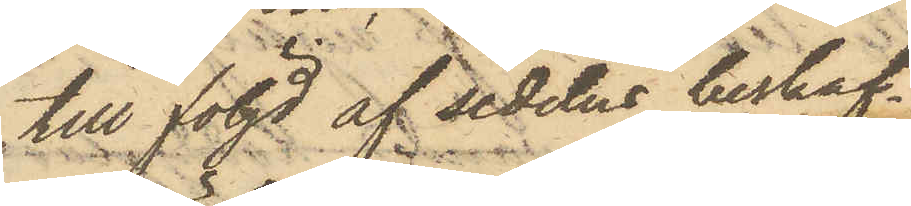till följd af sedelns beskaf¬
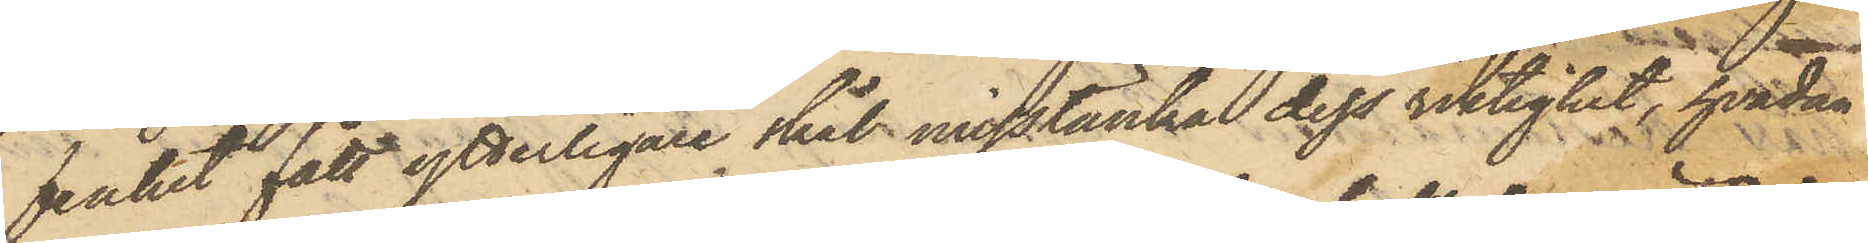fenhet fått ytterligare skäl misstänka dess riktighet, hvadan
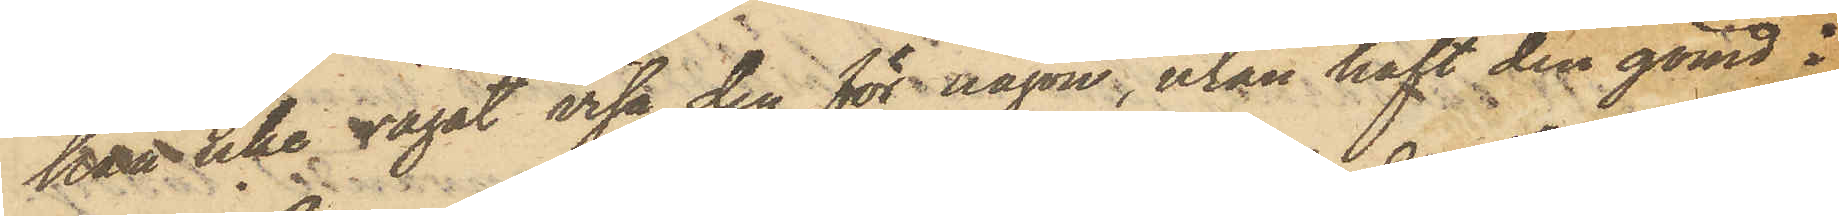han icke vågat visa den för någon, utan haft den gömd i
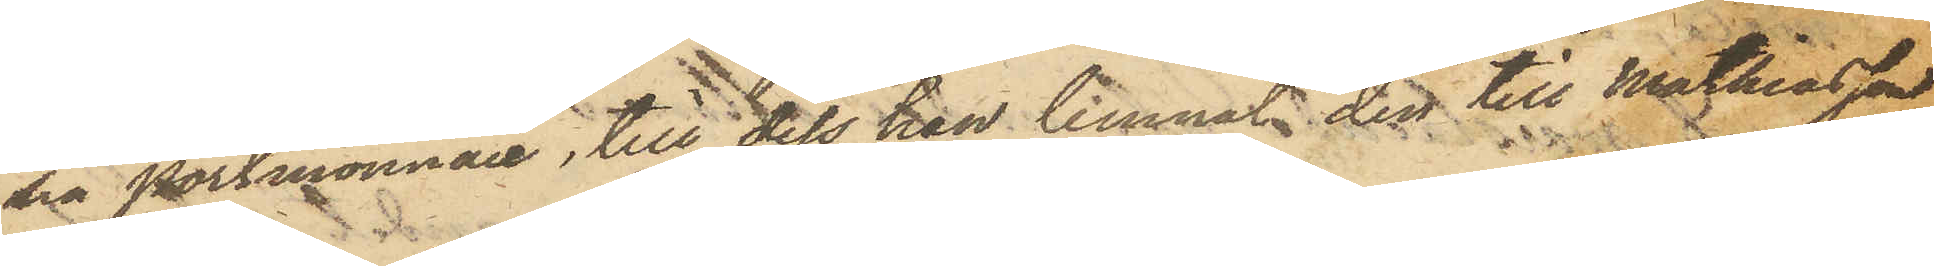sin portmonnaie, till dess han lemnat den till Mathiasson,
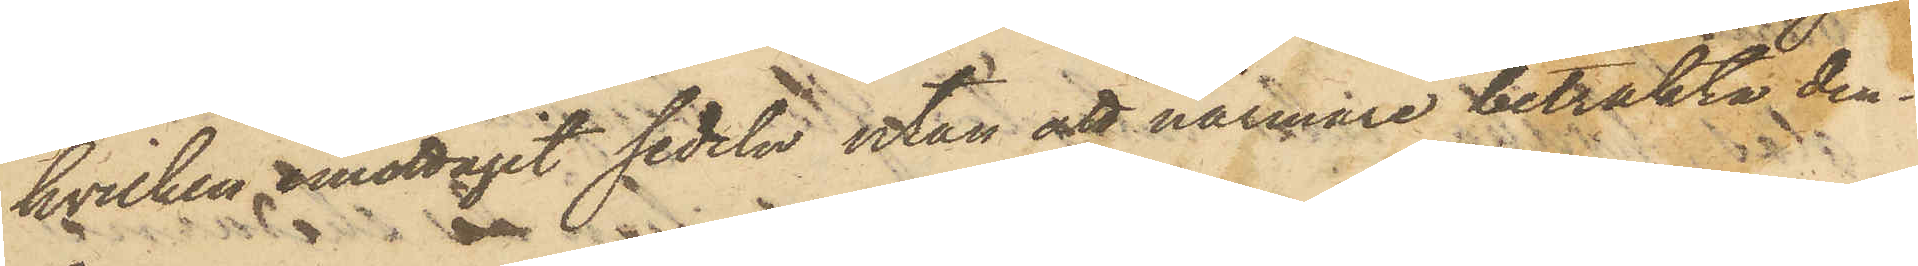hvilken emottagit sedeln utan att närmare betrakta den¬
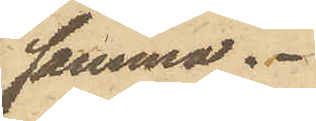samma.
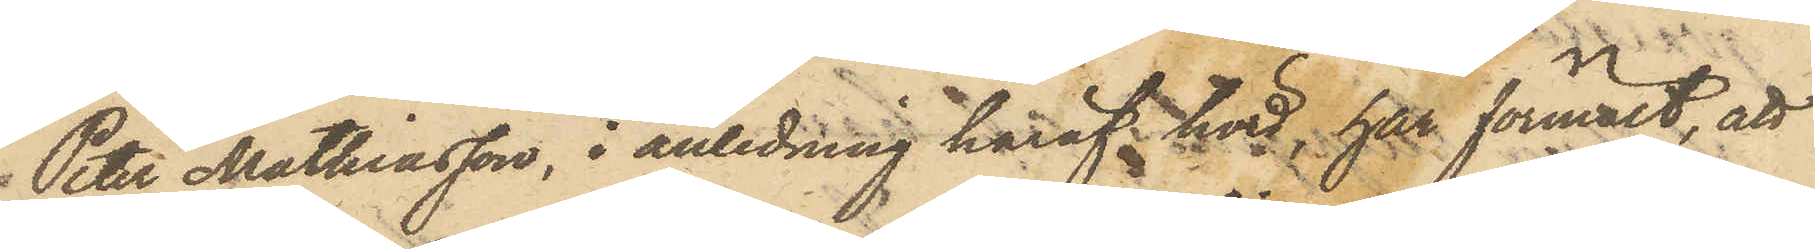Peter Mathiasson, i anledning häraf hörd, har förmält, att
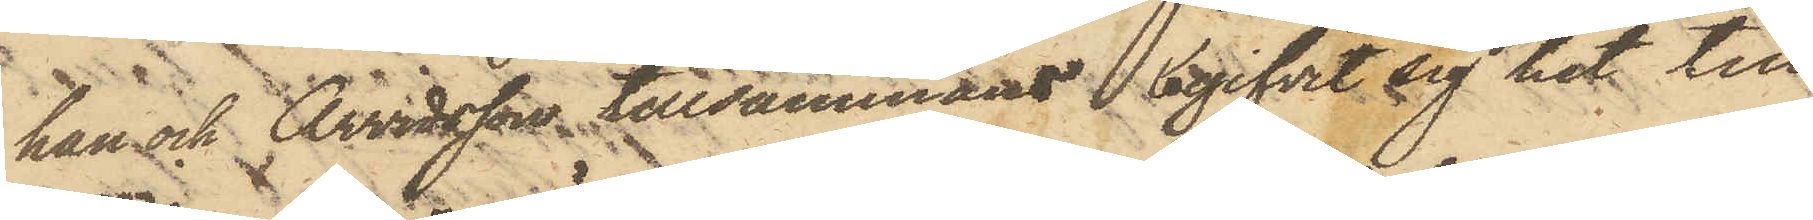han och Arvidsson tillsammans begifvit sig hit till
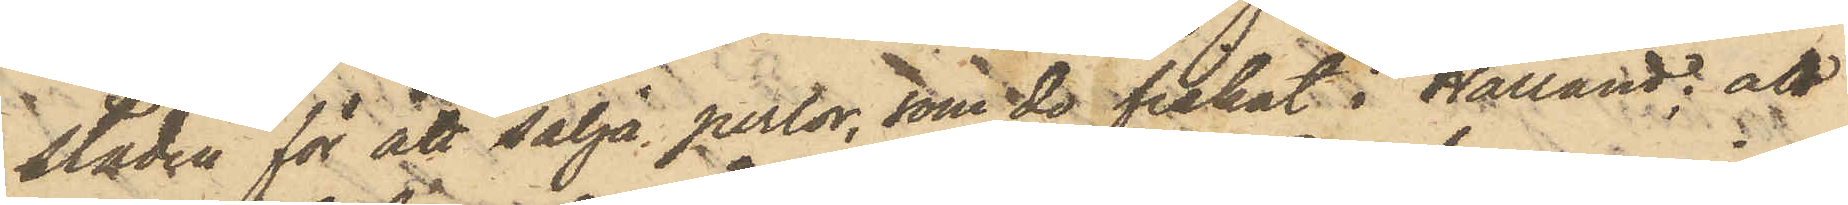staden för att sälja perlor, som de fiskat i Halland; att
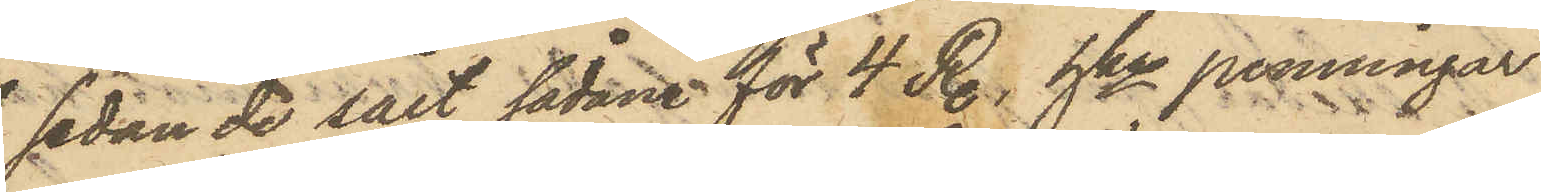sedan de sålt sådane för 4 R., hka penningar
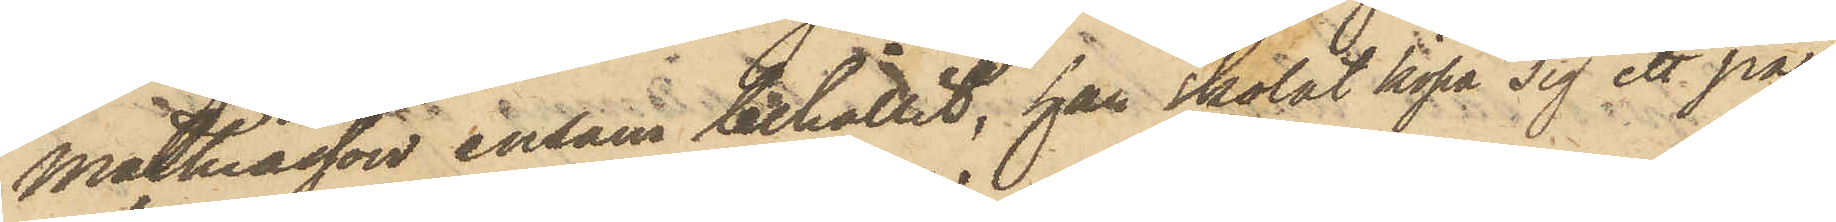Mathiasson ensam behållit, han skolat köpa sig ett par
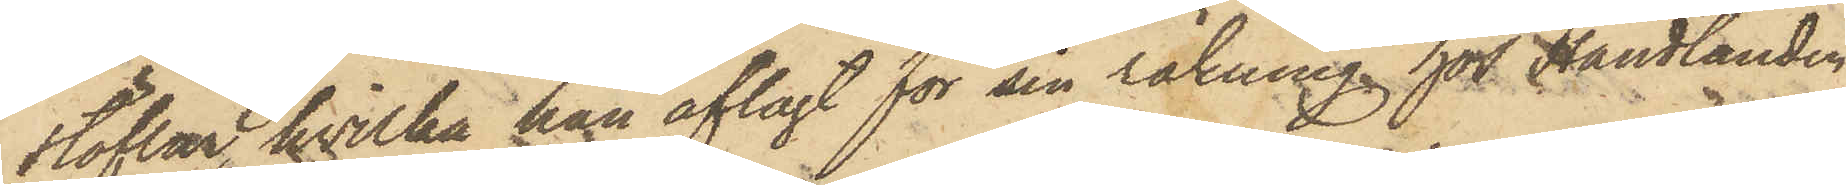stöflar, hvilka han aflagt för sin räkning hor Handlanden
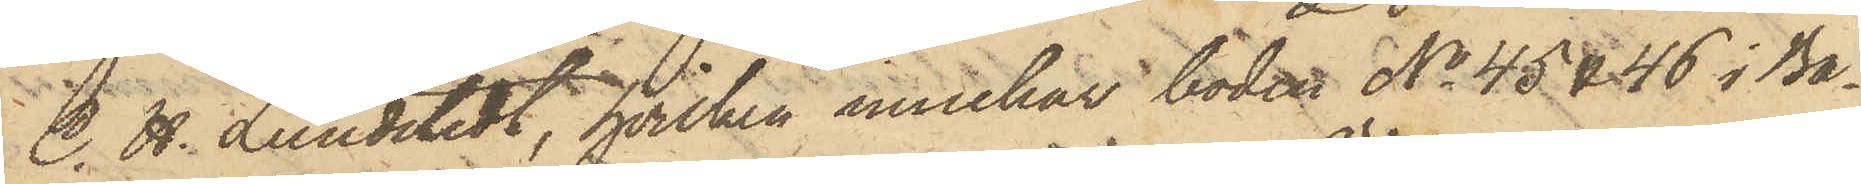C. H. Lundstedt, hvilken innehar boden No 45 & 46 i Ba¬
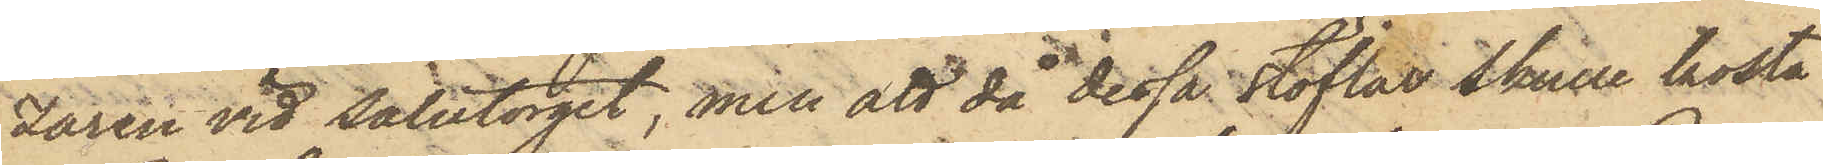zaren vid Salutorget, men att då dessa stöflar skulle kosta
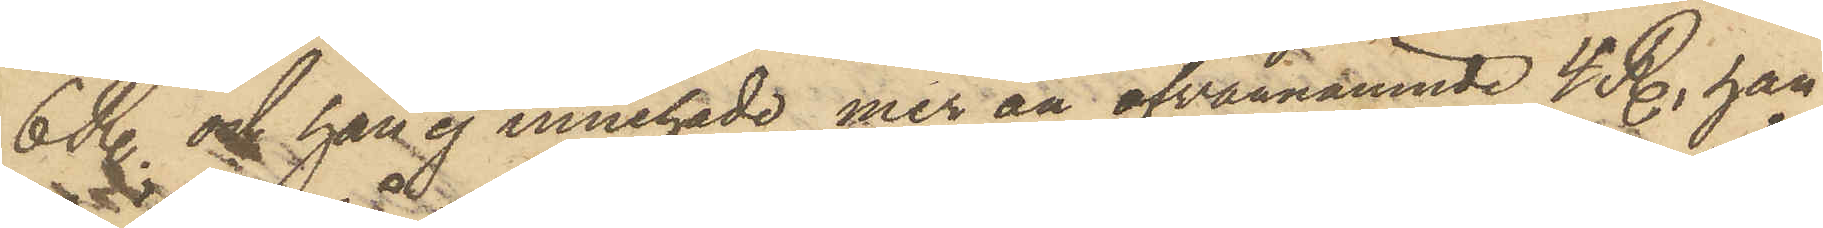6 R. och han ej innehade mer än ofvannämnde 4. R., han
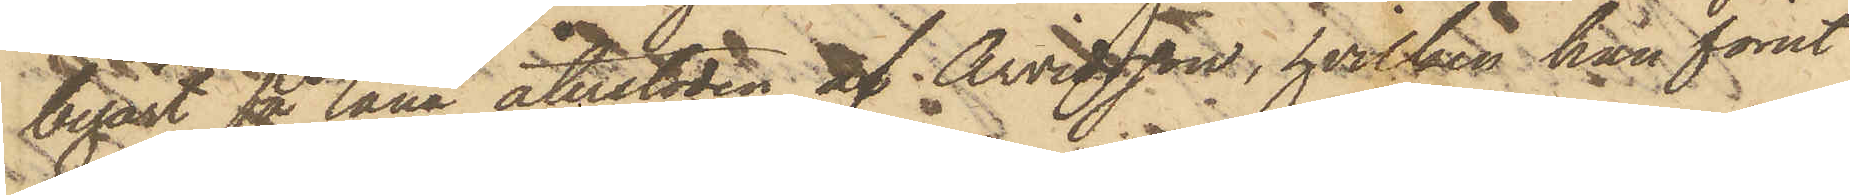begärt få låna återstoden af  Arvidsson, hvilken han förut
